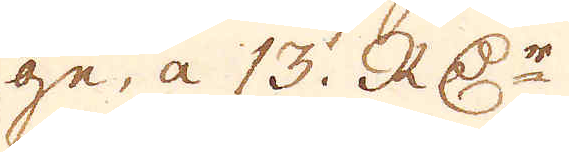ge, a 13. RD:r
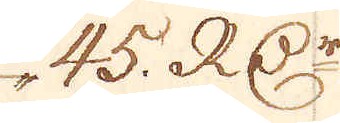45. RD:r
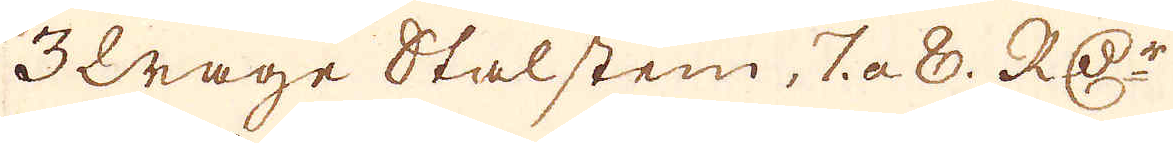3 Wage Stalstein, 7 a 8. RD:r
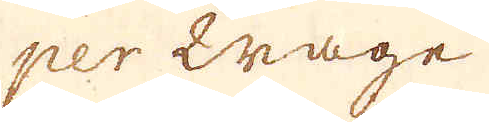per Wage
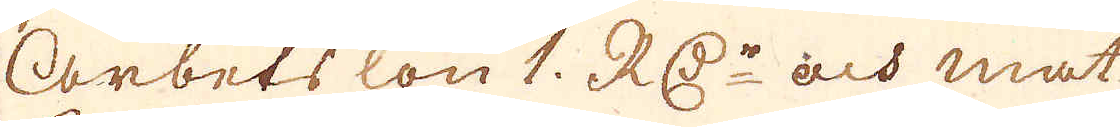Arbets lön 1. RD:r och mat
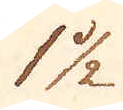1 1/2
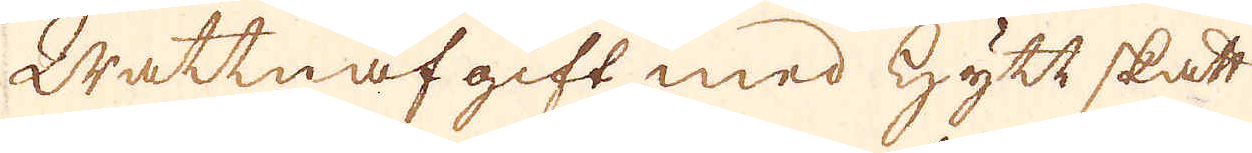Wattnafgift med Hytt skatt
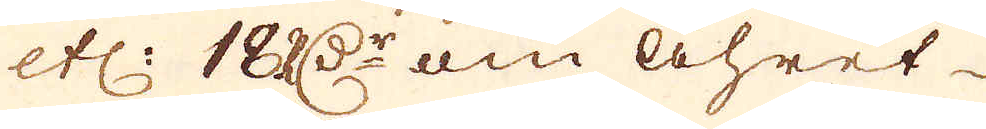etc: 18 RD:r om åhret
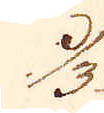1/3
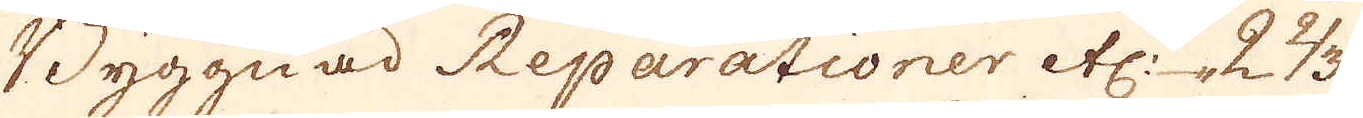Byggnad Reparationer etc: 2 1/3.
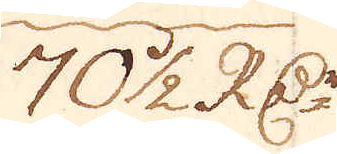70 1/2 R:Dr
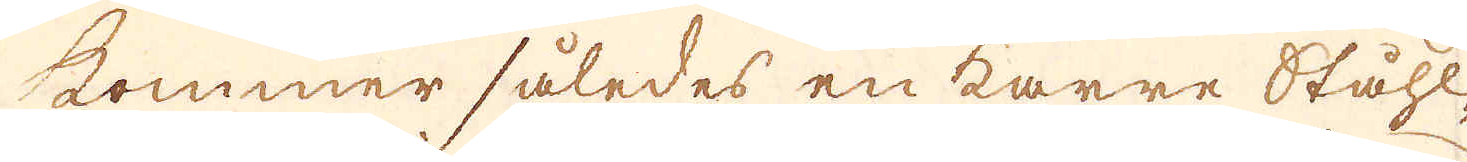kommer således en karre Ståhl-
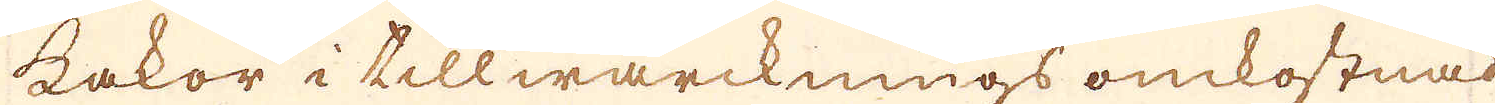kakor i tillwärcknings omkostnad
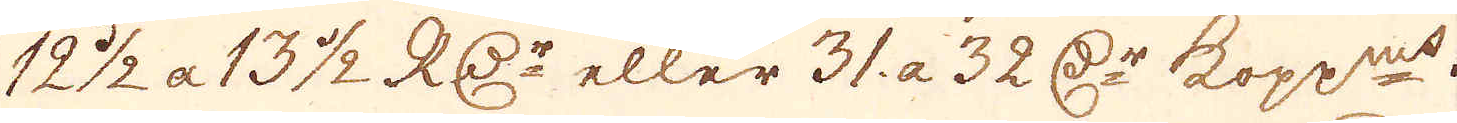12 1/2 a 13 1/2 RD:r eller 31. a 32 r:Dr kopp:mt.
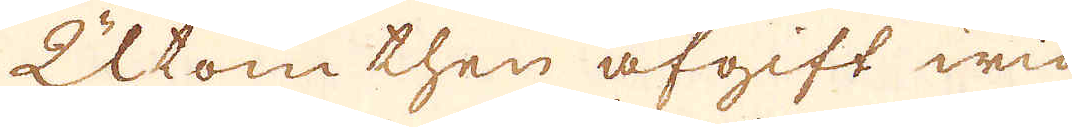Utom then afgift wid
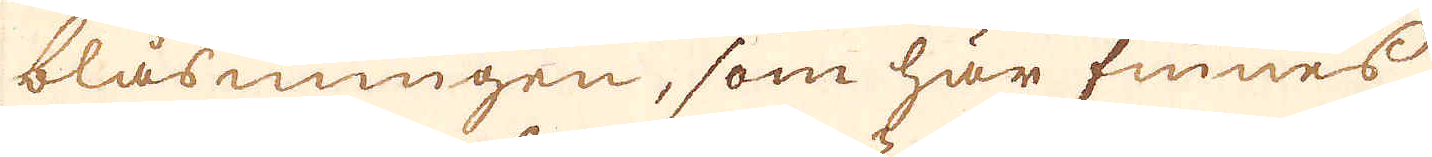blåsningen, som här finnes
